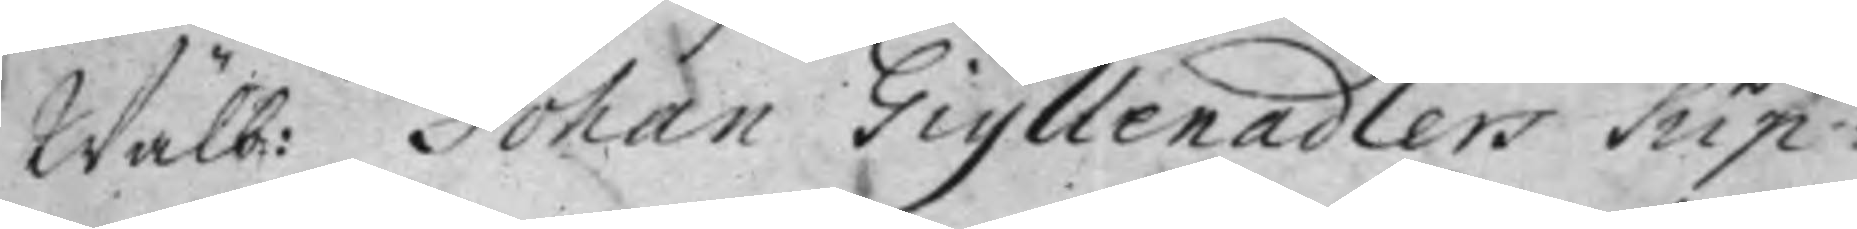Wälb: Johan Giyllenadlers Sup¬
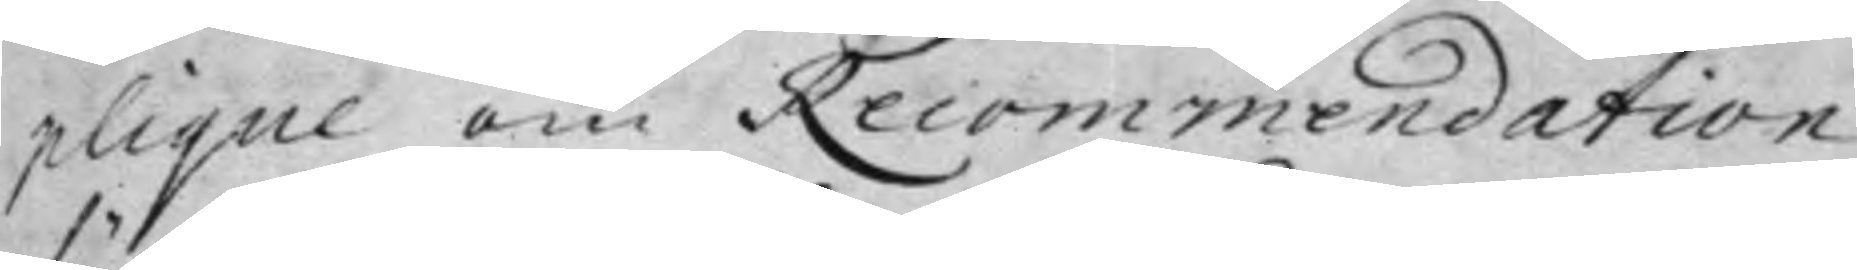plique om Recommendation
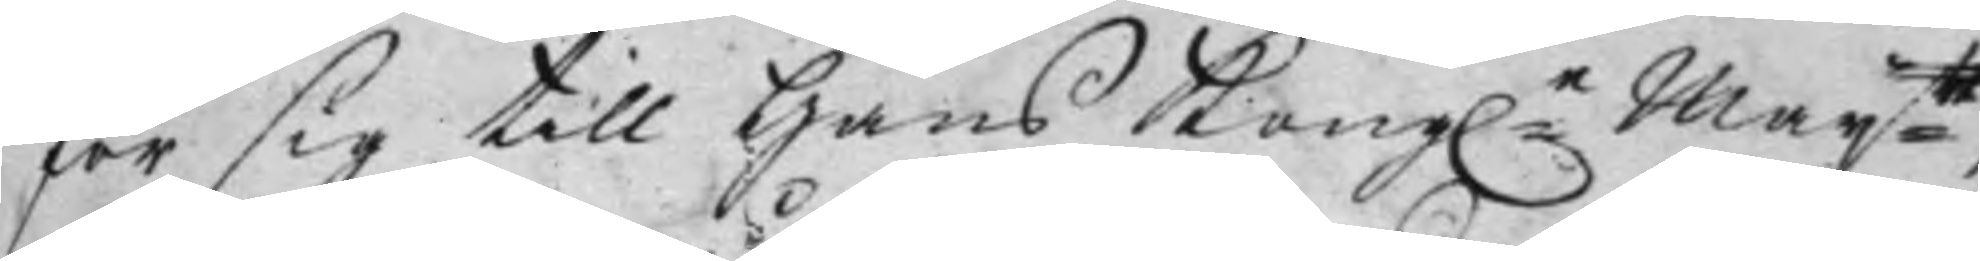för sig till Hans Kong:e Maij:tt,
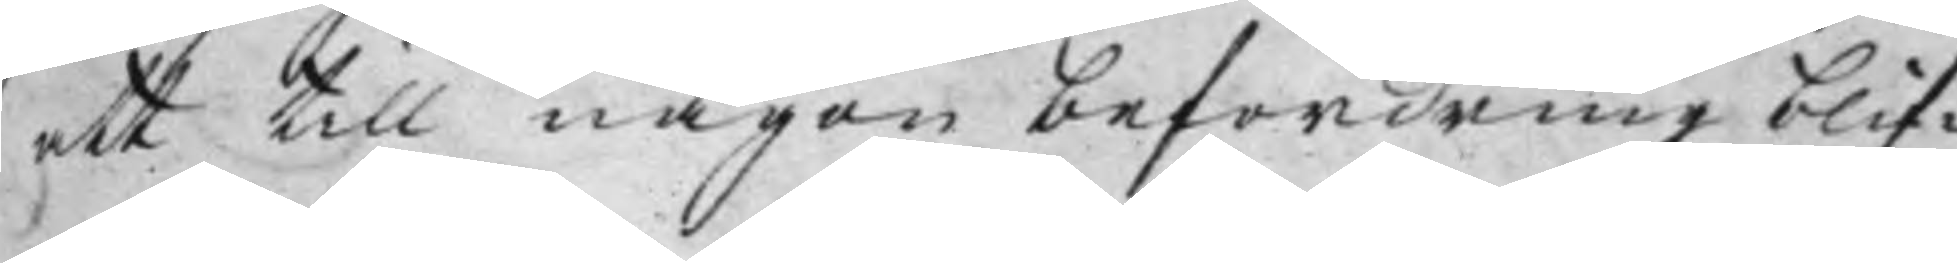att till någon befordring blif¬
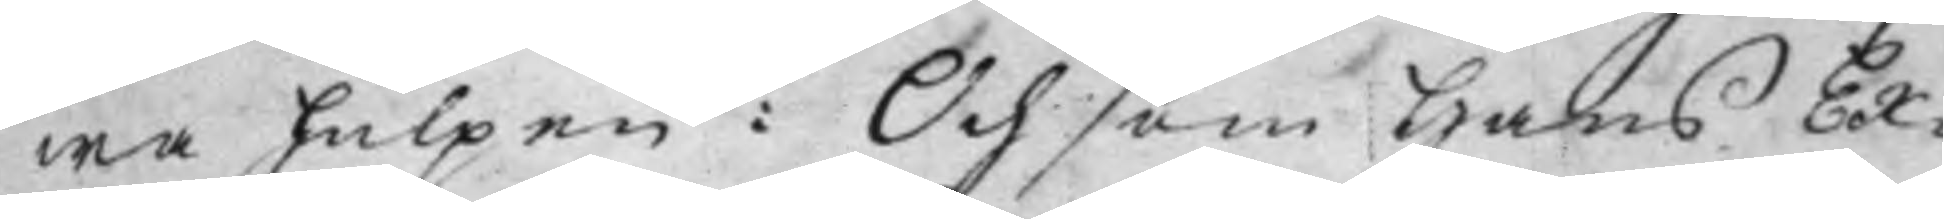wa hulpen: Och som Hans Ex¬
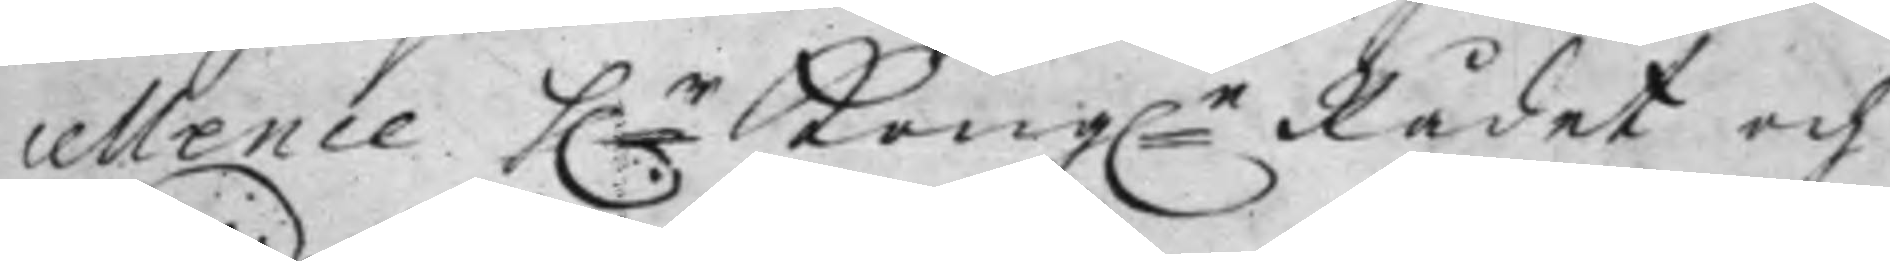cellence h:r Kong:e Rådet och
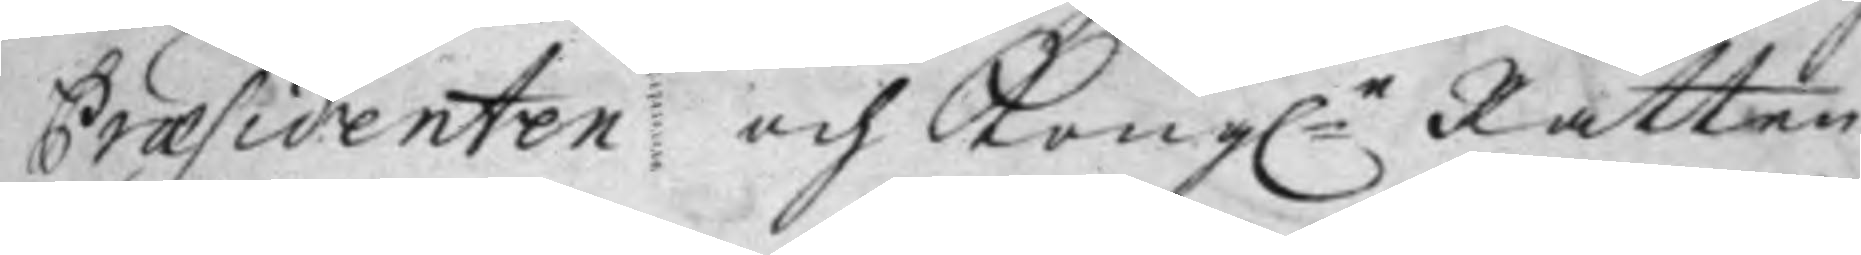Praesidenten och Kong:e Rätten
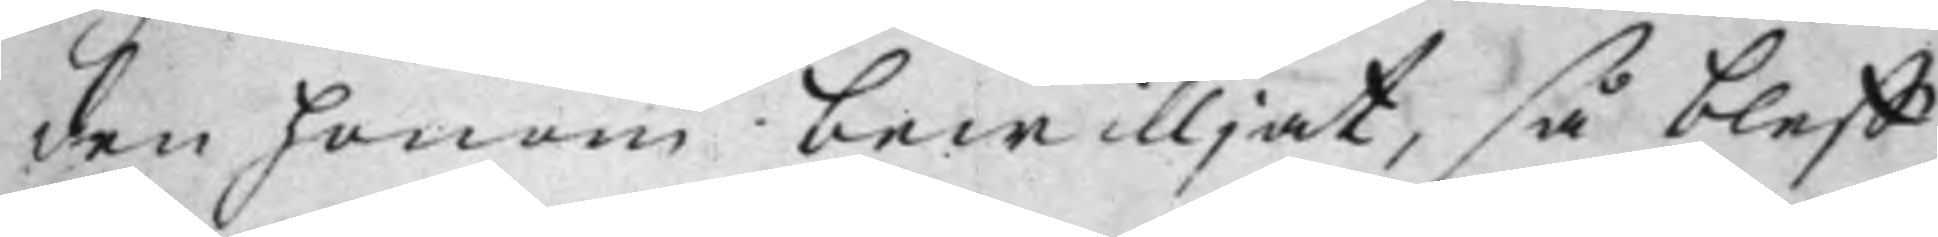den honom bewilljat, så bleff
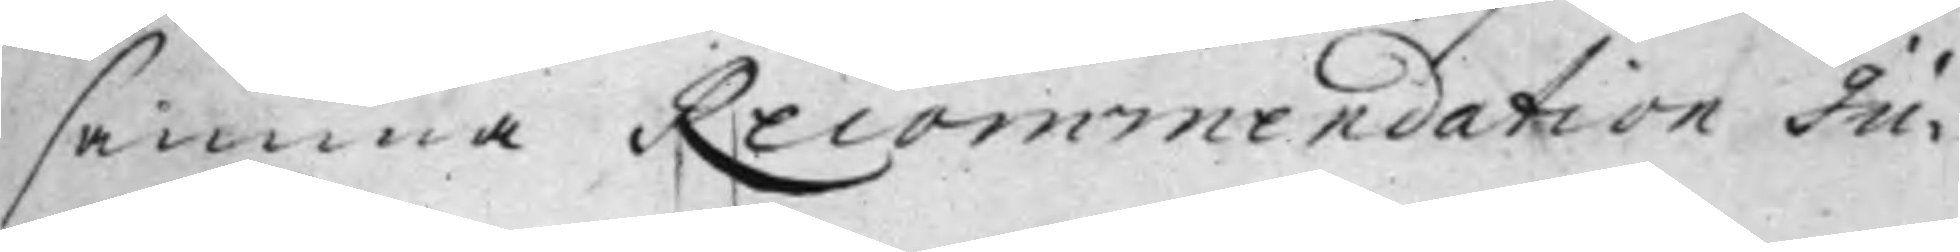samma Recommendation Ju¬
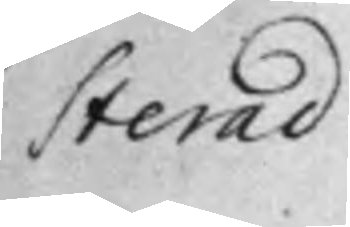sterad.
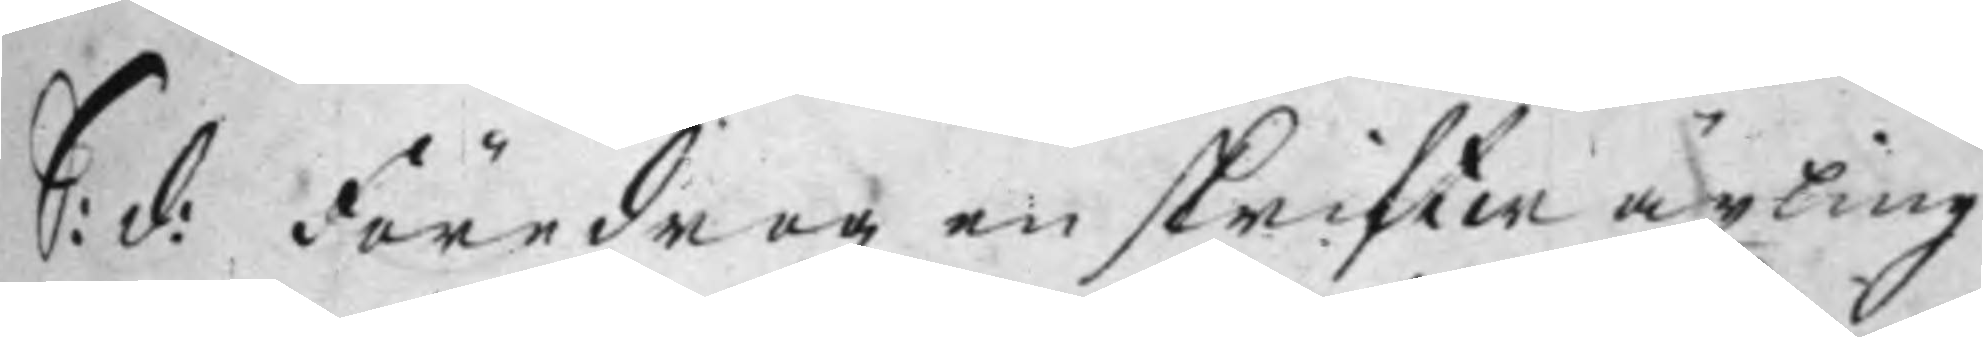S: d: Föredrogz en skriftwäxling
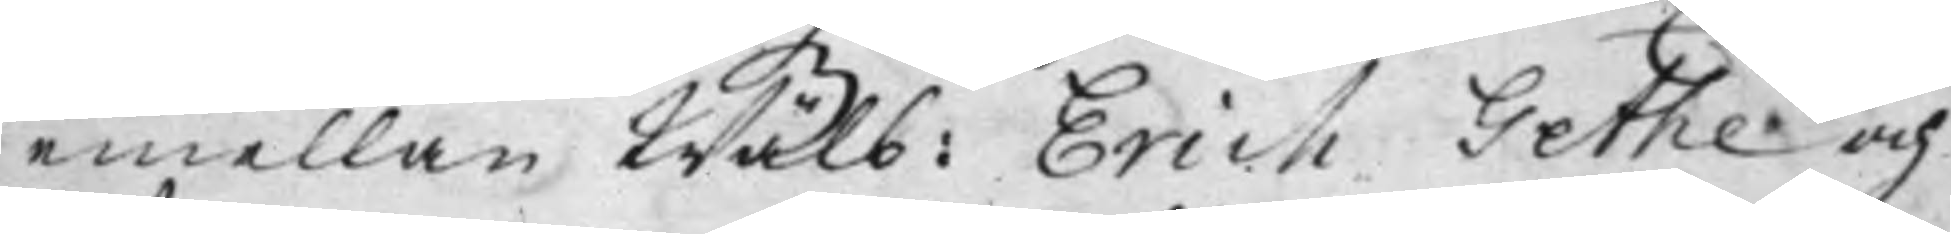emellan Wälb: Erich Gethe och
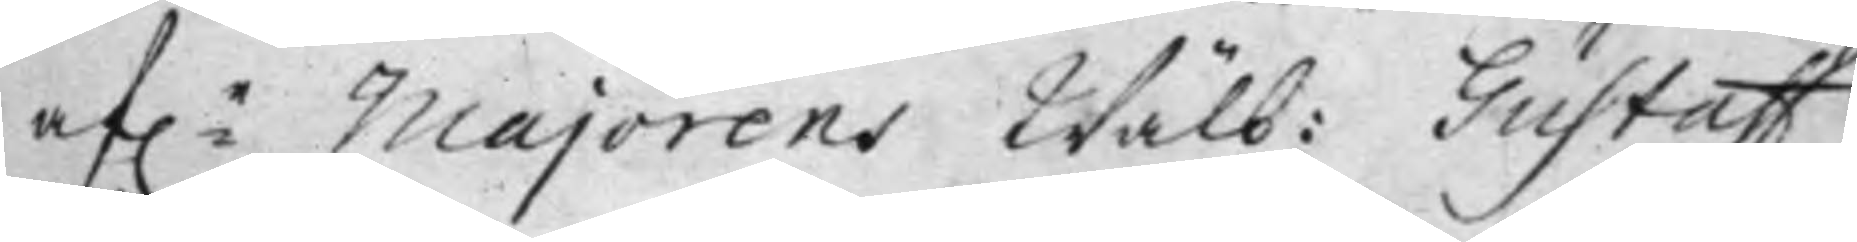af:e Majorens Wälb: Gustaff
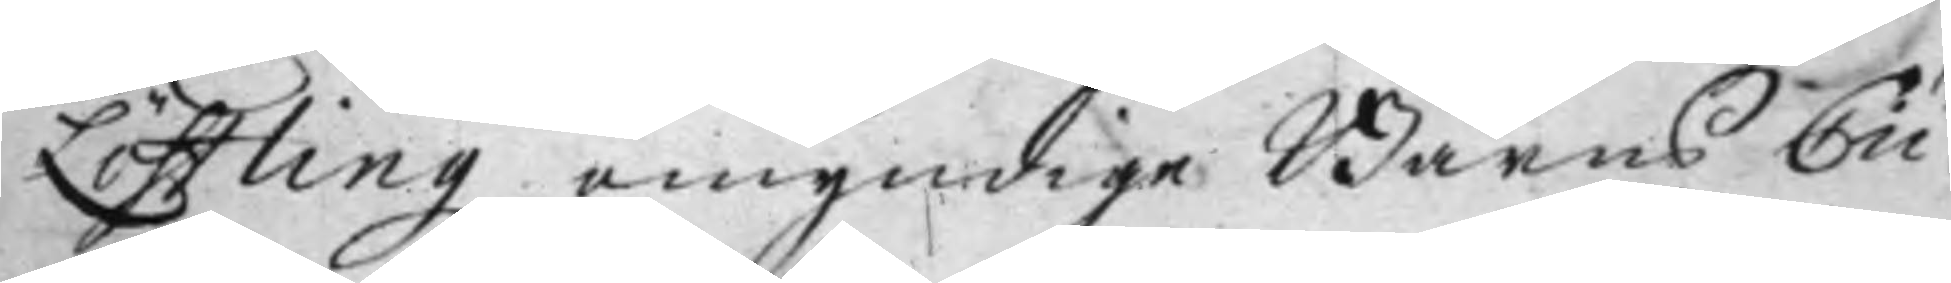Löfflingz omyndige Barns Cu¬
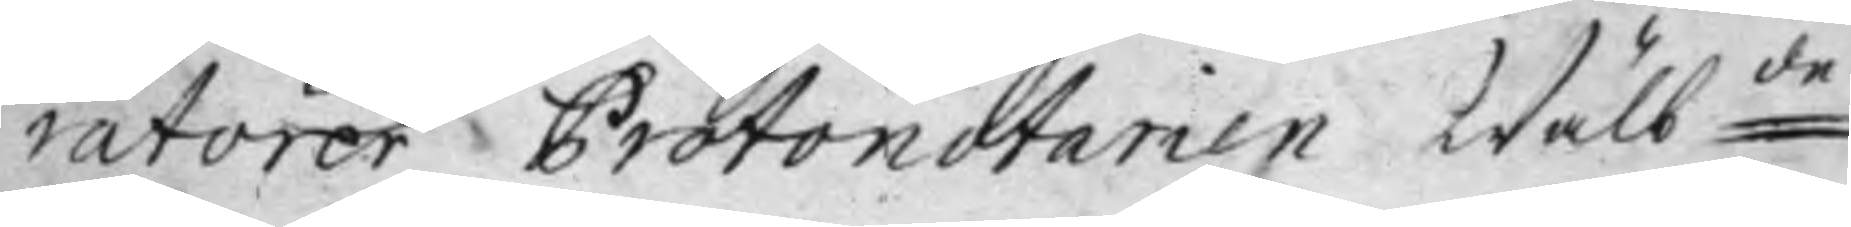ratorer Protonotarien Wälb:de
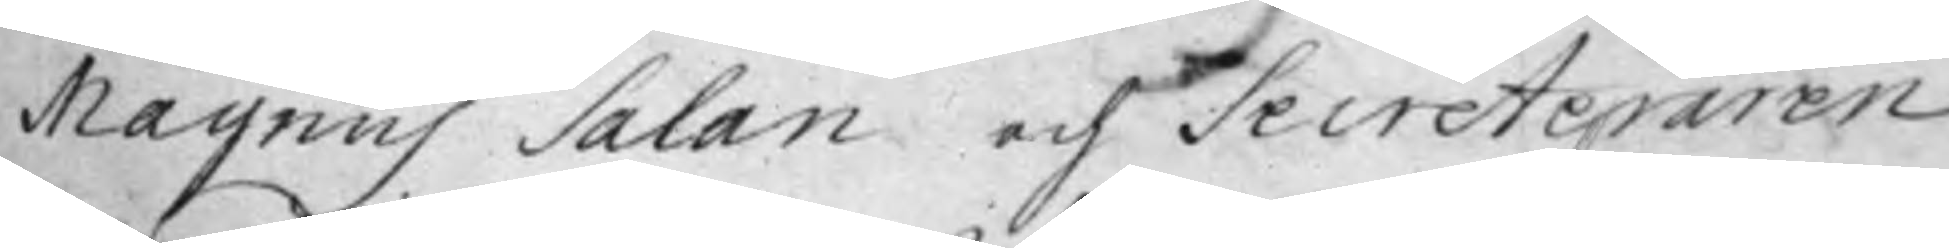Magnus Salan och Secreteraren
